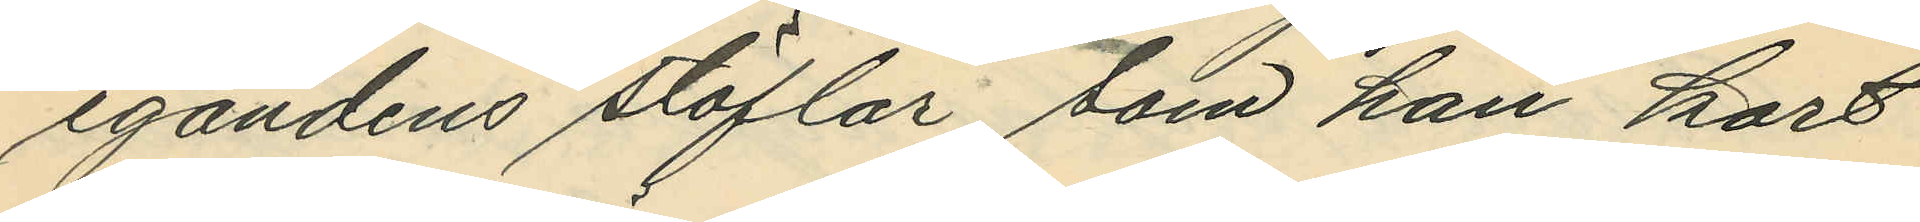egandens stöflar, som han kort
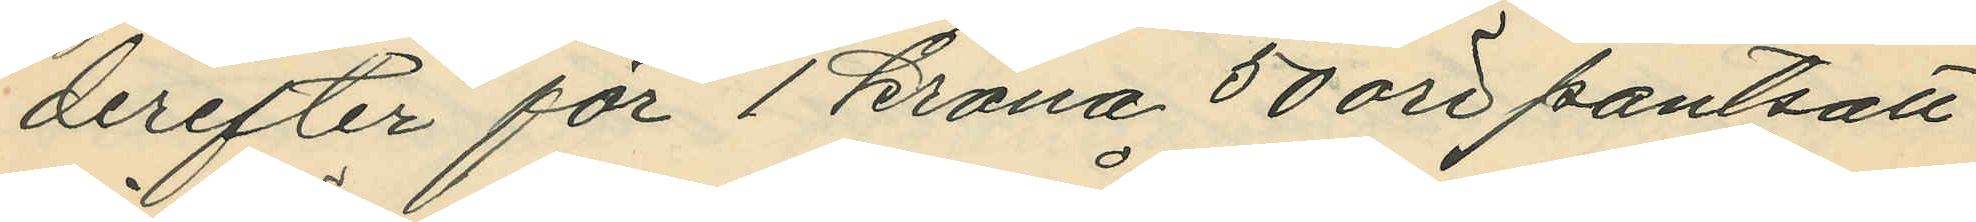derefter för 1 krona 50 öre pantsatt
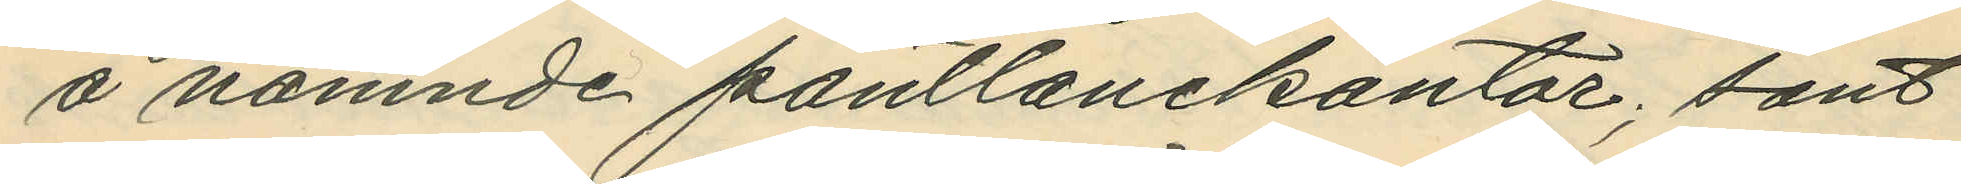å nämnde pantlånekontor; sant
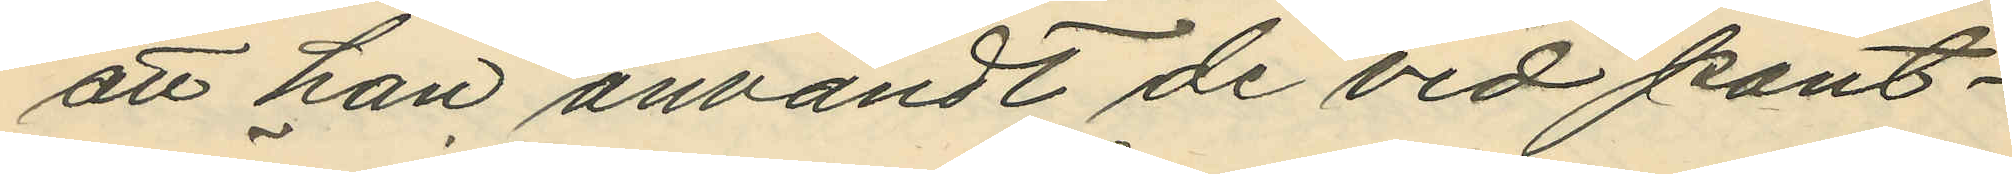att han användt de vid pant¬
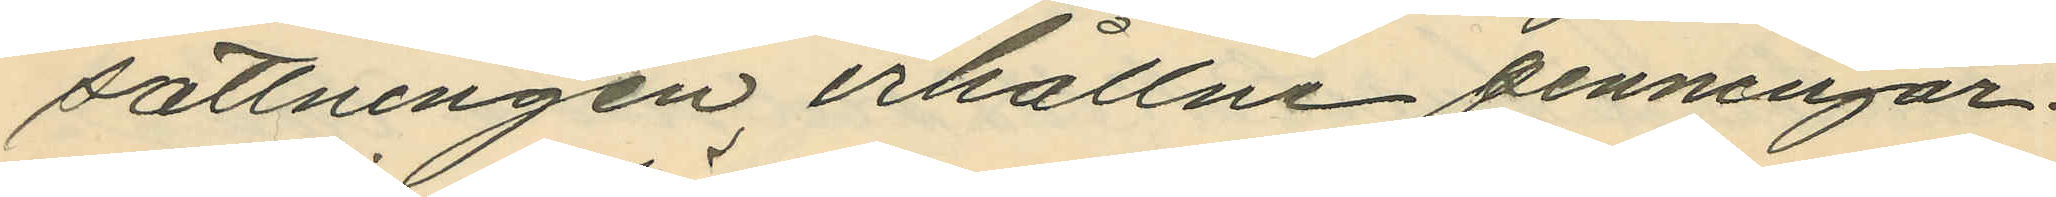sättningen erhållne penningar¬
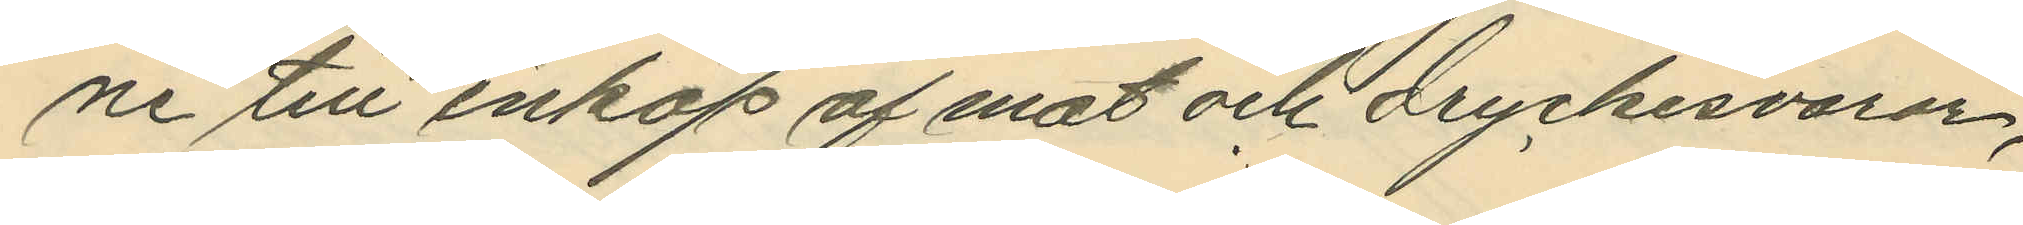ne till inköp af mat och dryckesvaror,
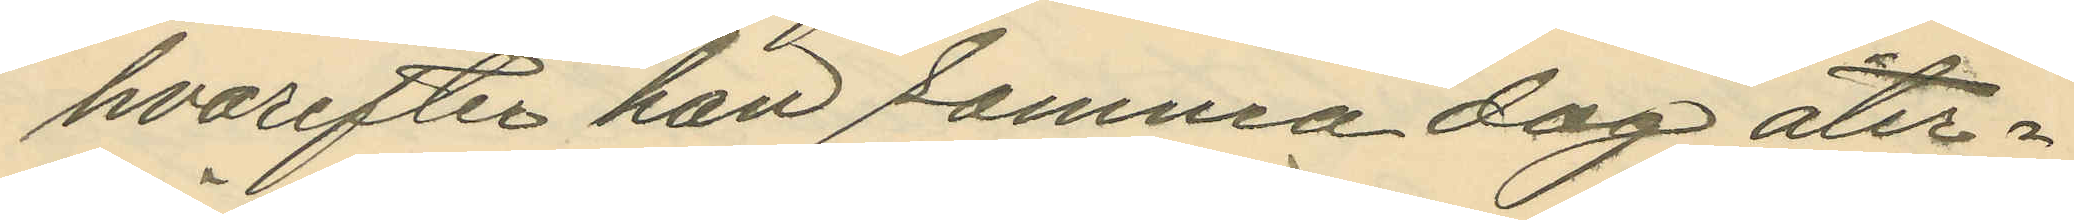hvarefter han samma dag åter¬
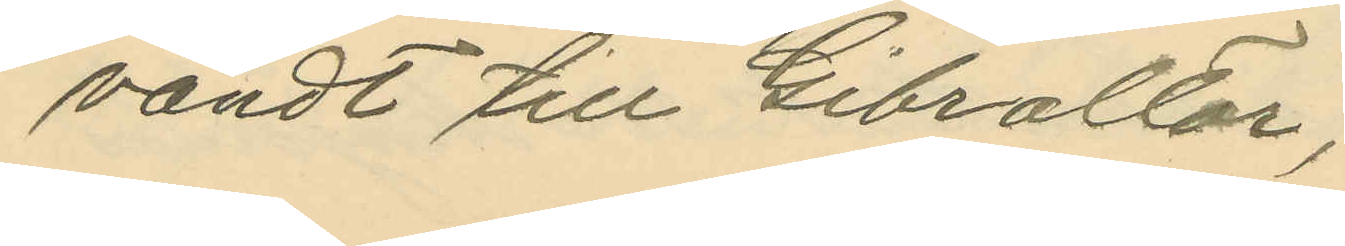vändt till Gibraltar;
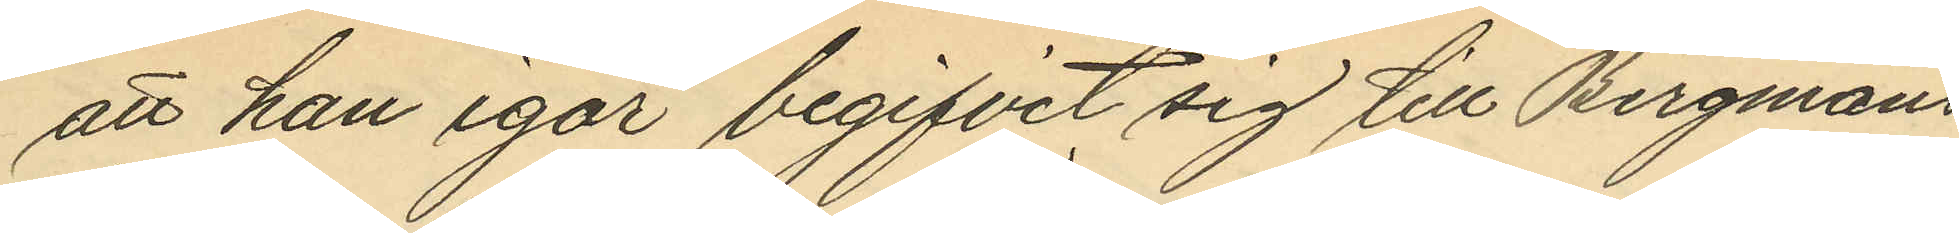att han igår begifvit sig till Bergmans
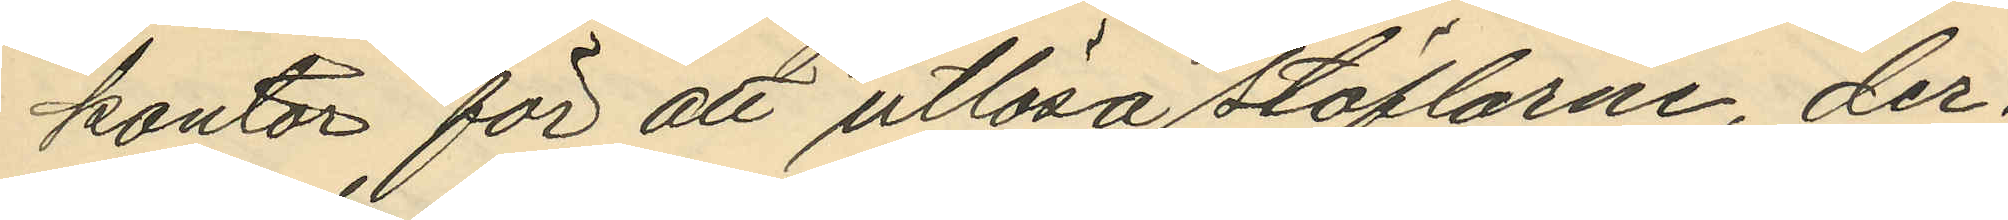kontor för att utlösa stöflarne, der¬
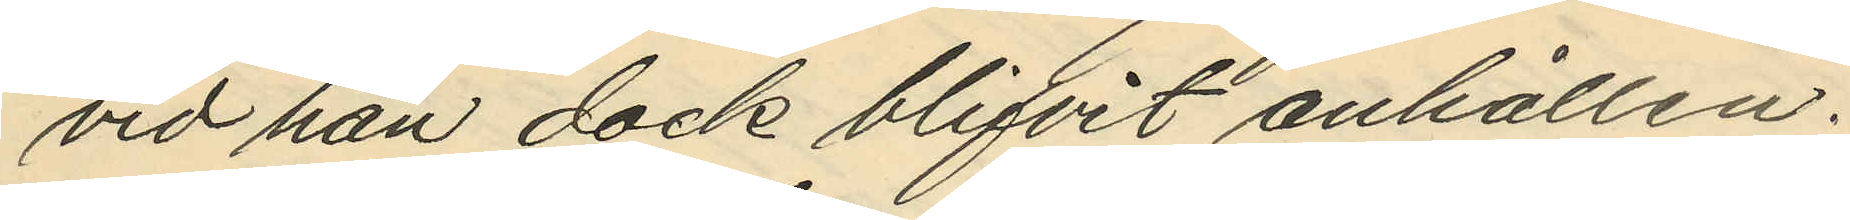vid han dock blifvit anhållen.
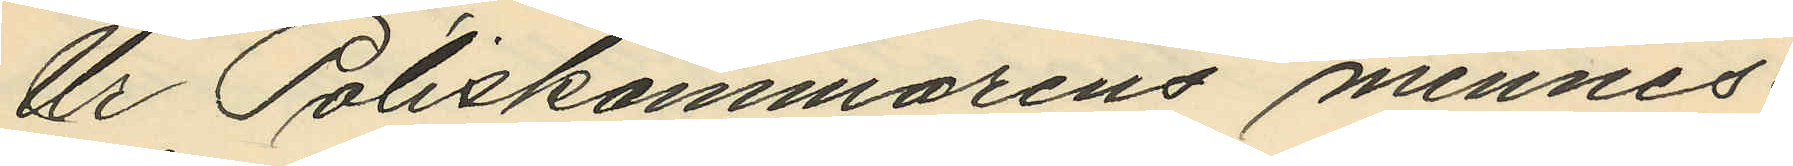Ur Poliskammarens minnes¬
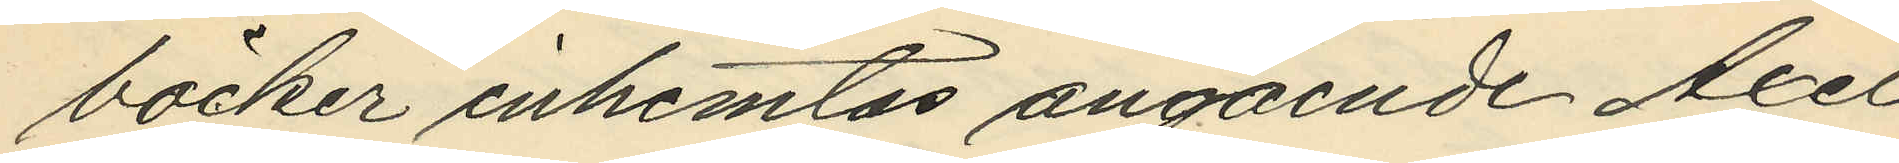böcker inhemtas angående Axel
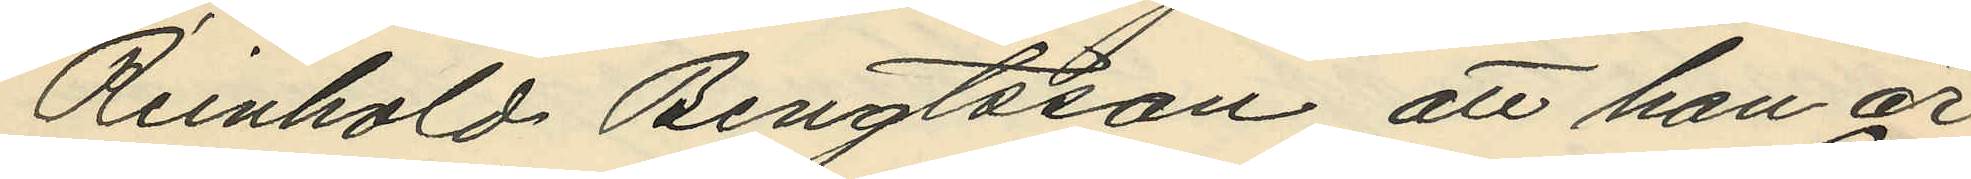Reinhold Bengtsson, att han är
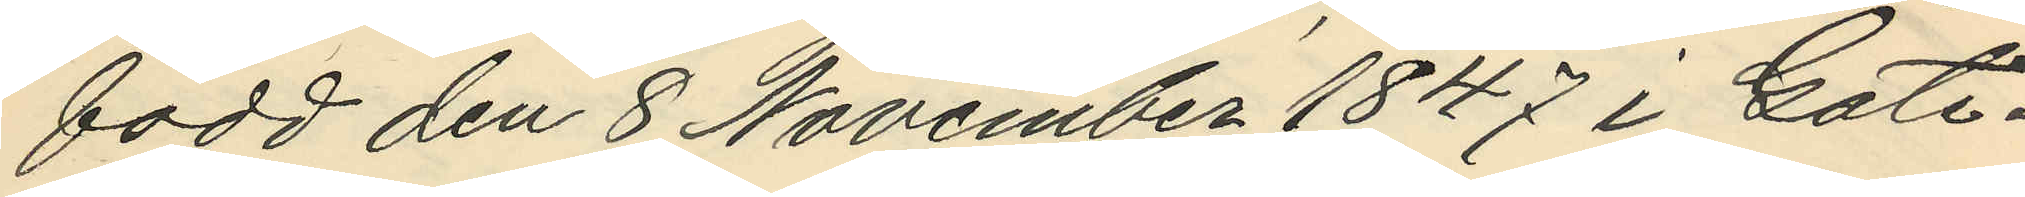född den 8 November 1847 i Gote¬
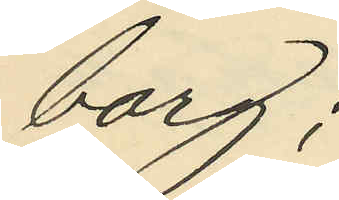borg;
